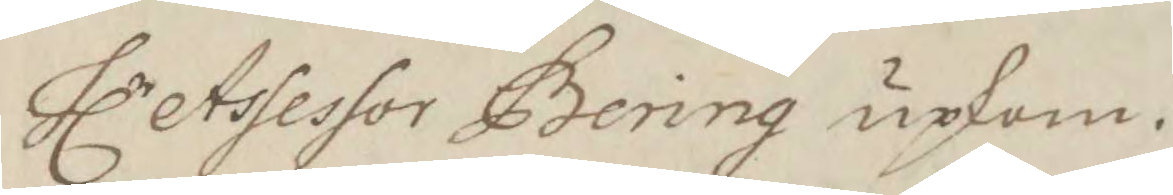Hlr Assessor Bering upkom.
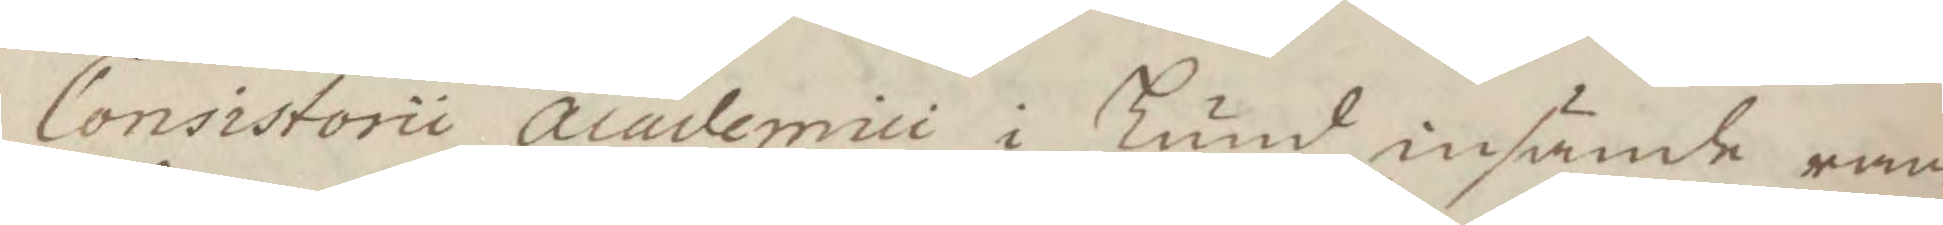Consistorii Academici i Lund insände ran¬
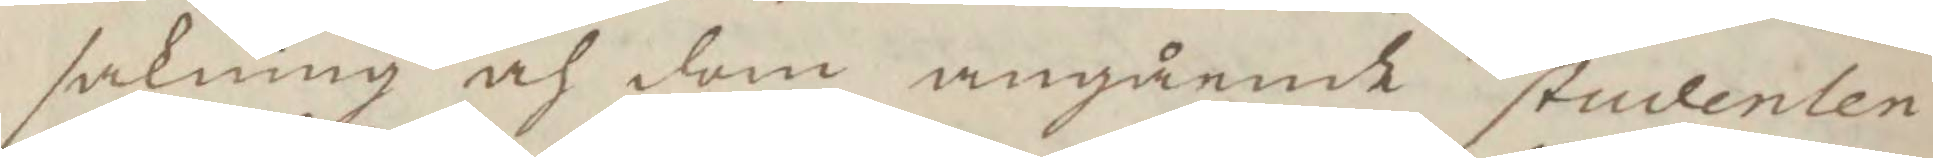sakning ah dom angående studenten
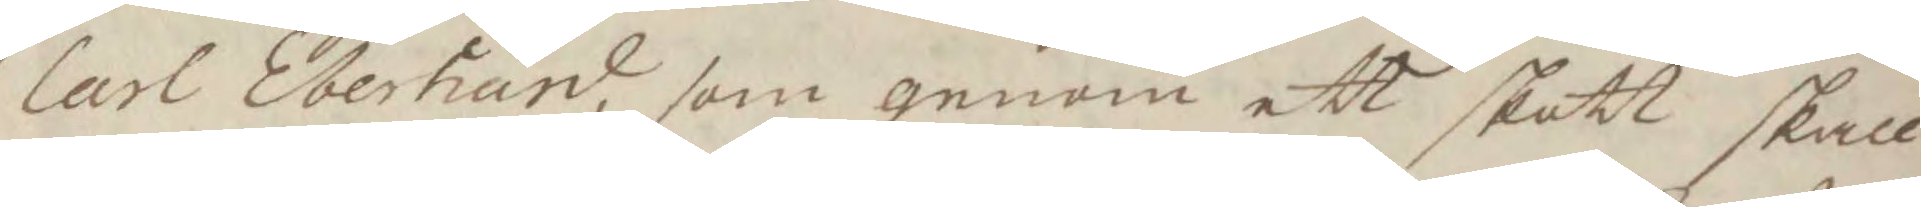Carl Eberhard, som genom ett skott skall
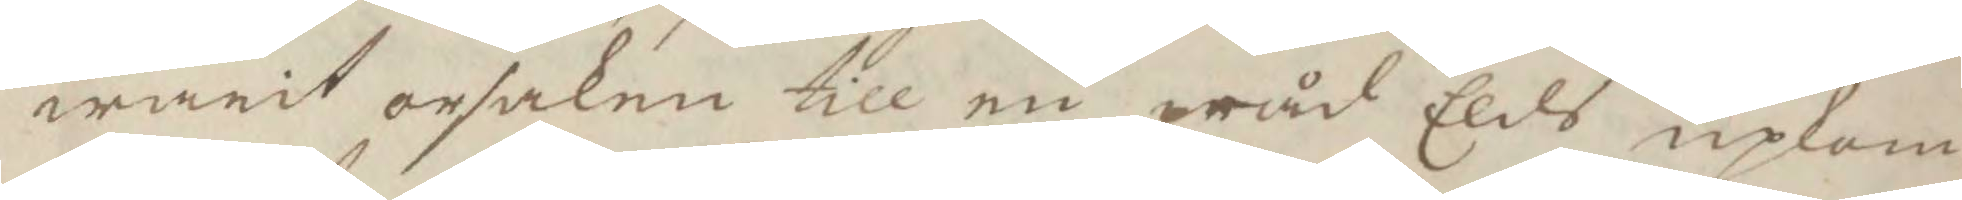warit orsaken till en wåd Eldh upkom¬
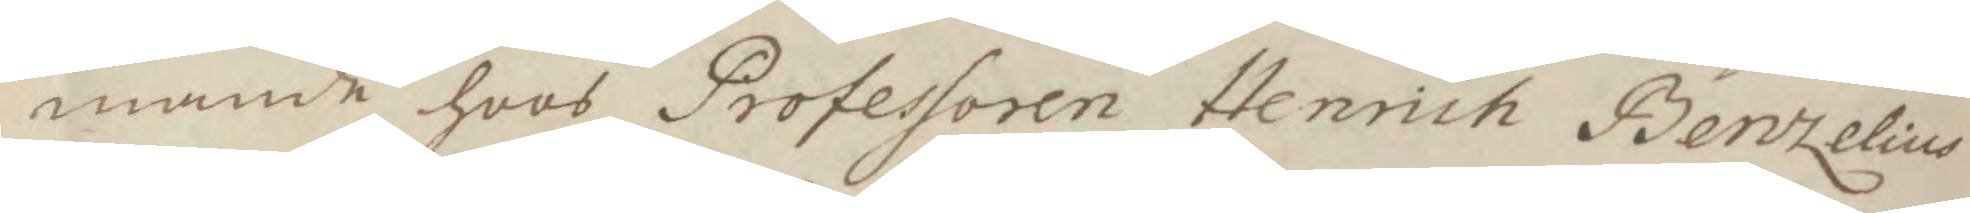mande hoos Proessoren Henrich Bentzelius
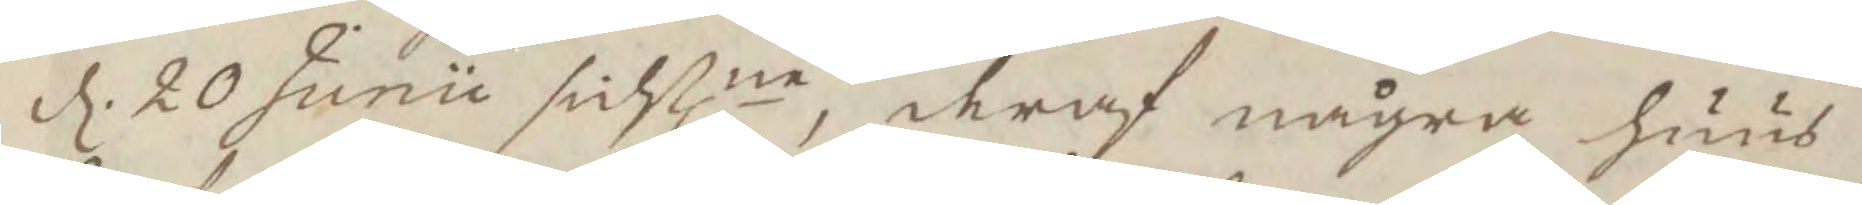d. 20 Junii sistlne, deraf några huus
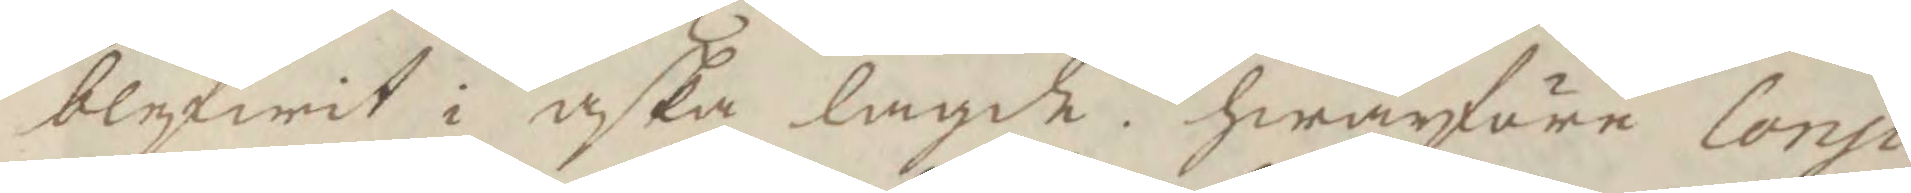vlefwit i aska lagde, hwarföre Consi¬
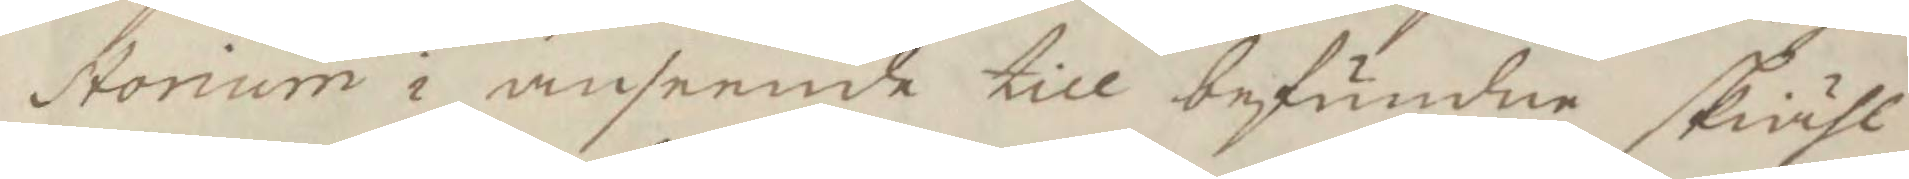storium i anseende till befundne skiähl
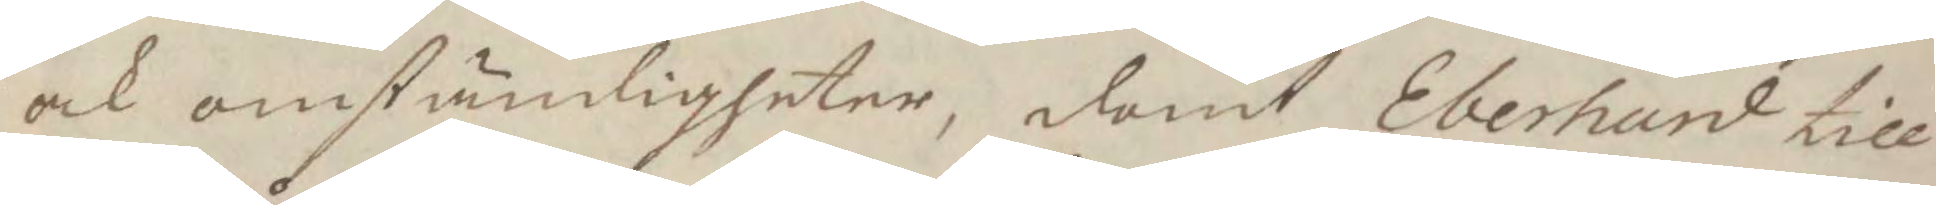och omständigheter, domt Eberhard till
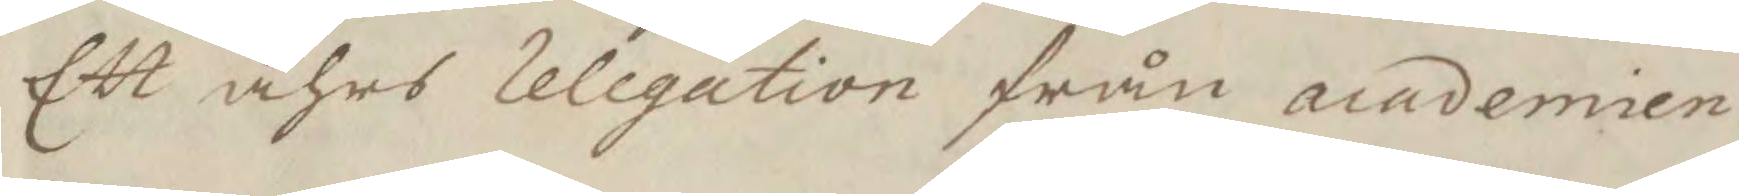Ett åhrs relegation från academien.
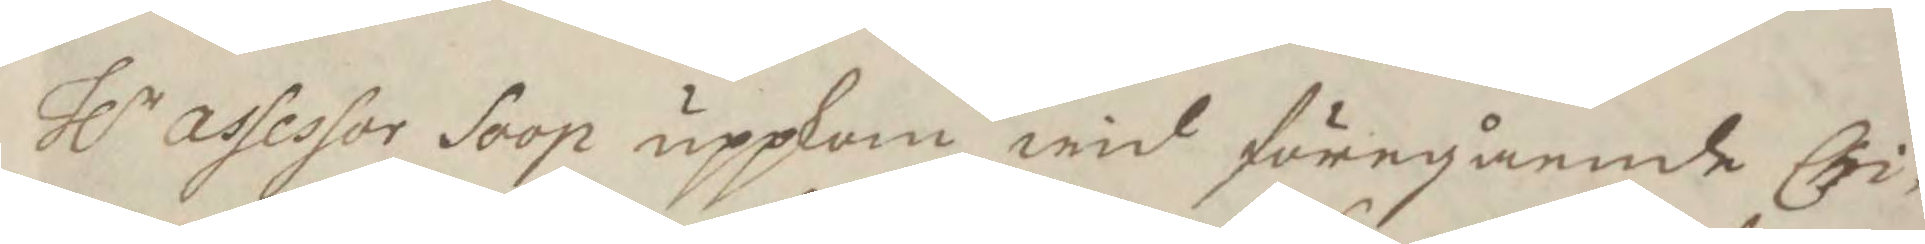Hlr assessor Soop uppkom wid föregående Chri¬
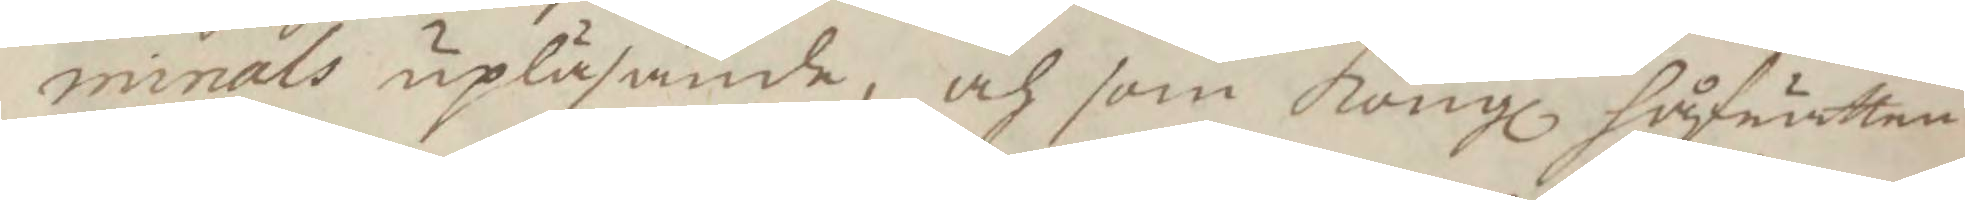minals upläsande, och som Kongl håfrätten
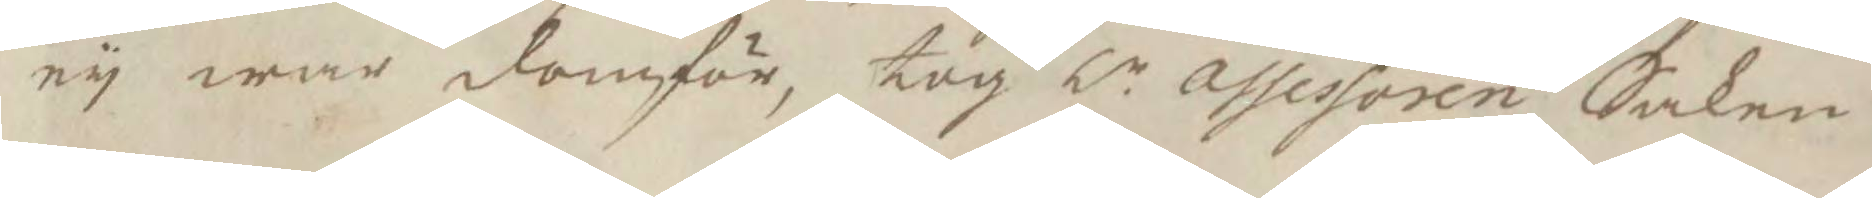ey war domför, tog Hr assessoren Saken
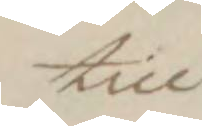till
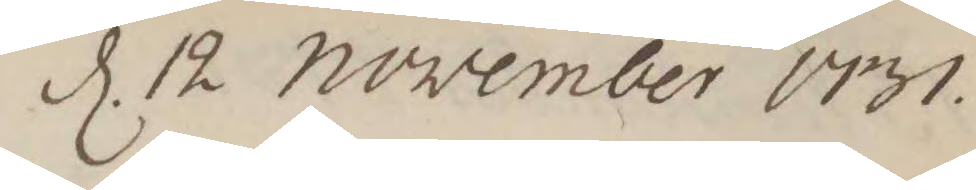d. 12 november 1731.
